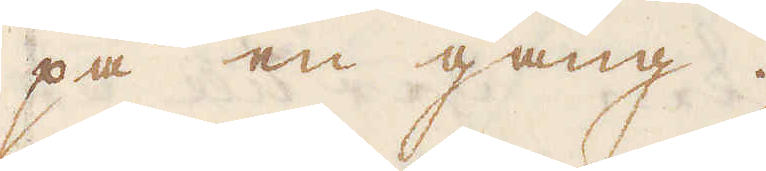på en gång.
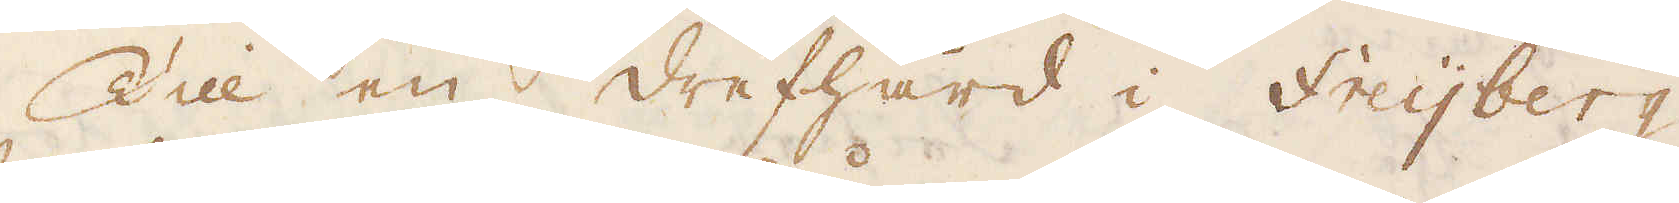Till en drefhård i Freijberg
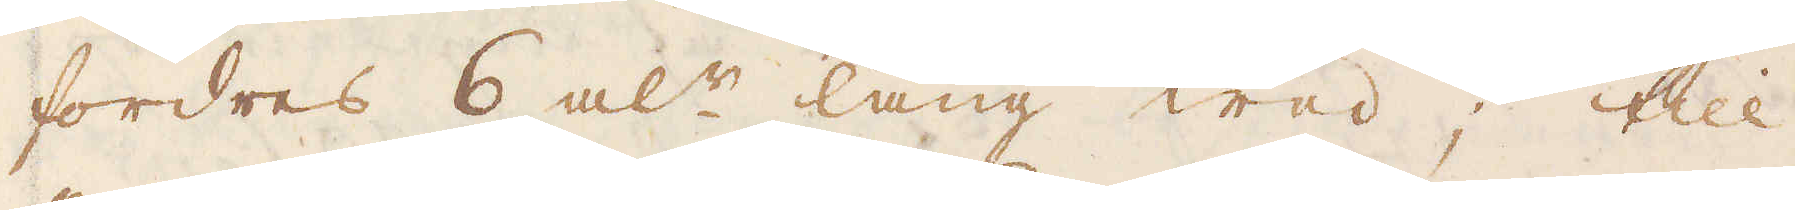fordres 6 al:r lång wed. till
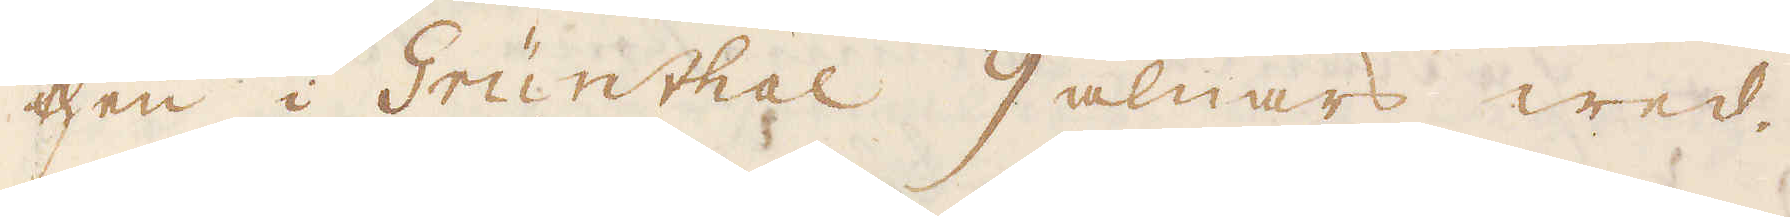then i Grünthal 9 alnars wed
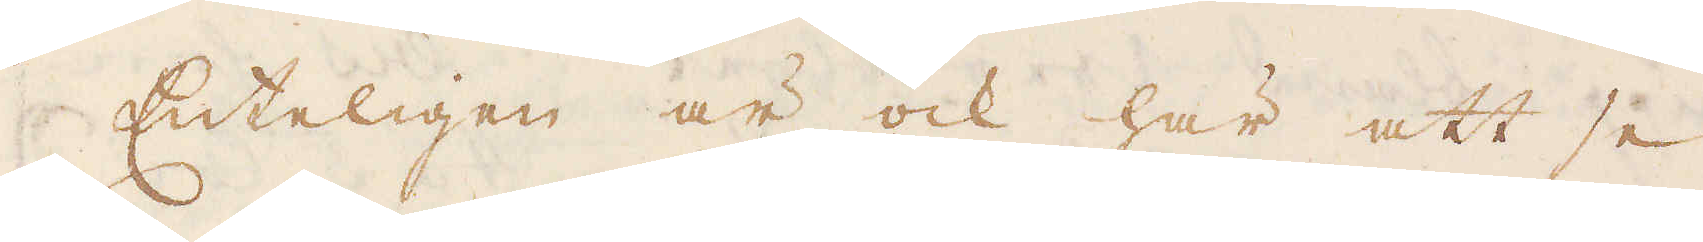Enteligen är ock här att se
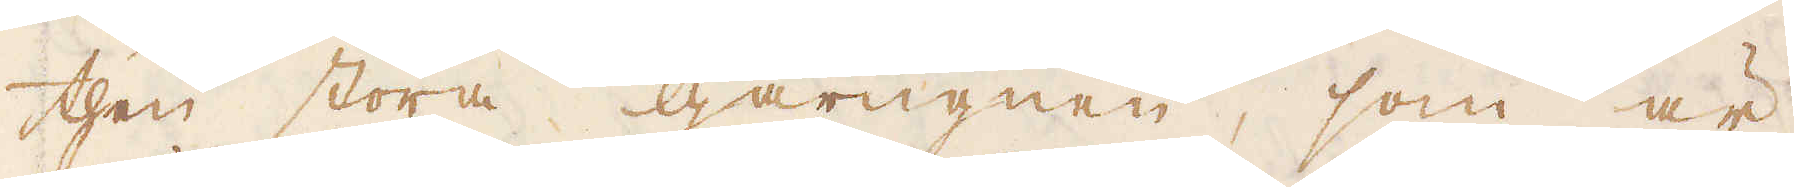then stora gårugnen, som är
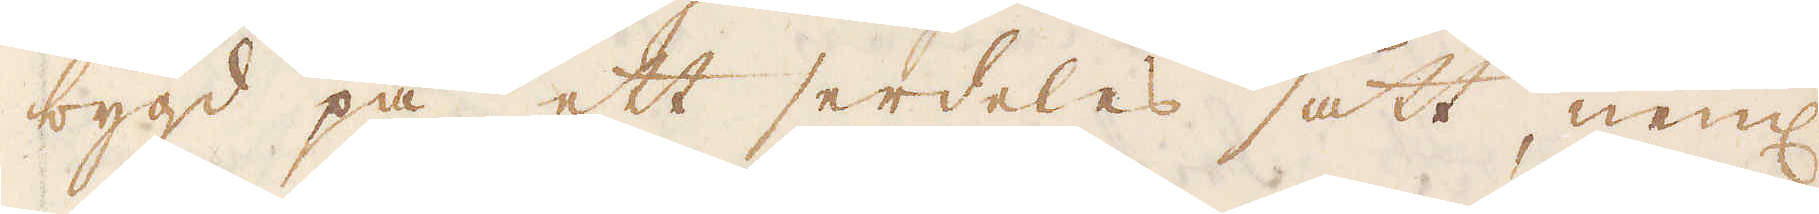bygd på ett serdeles sätt, neml
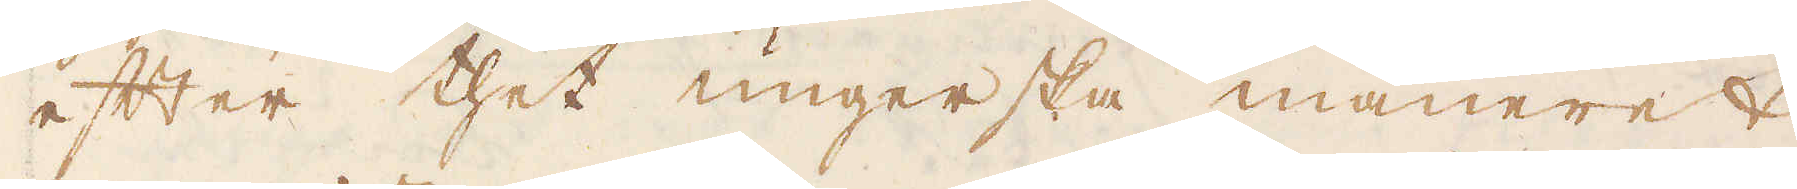efter thet ungerska manéeret
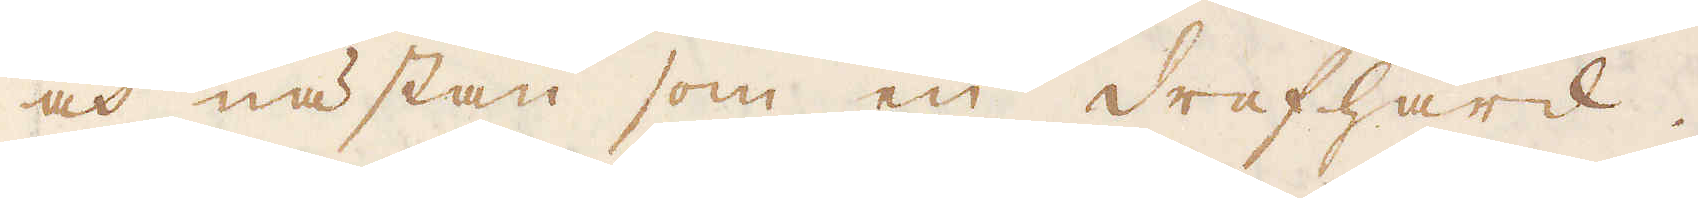och nästan som en drefhärd.
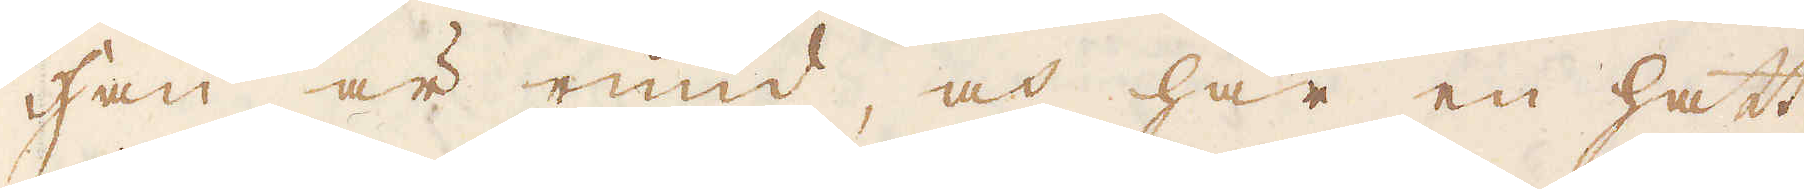Han är rund, och har en hatt
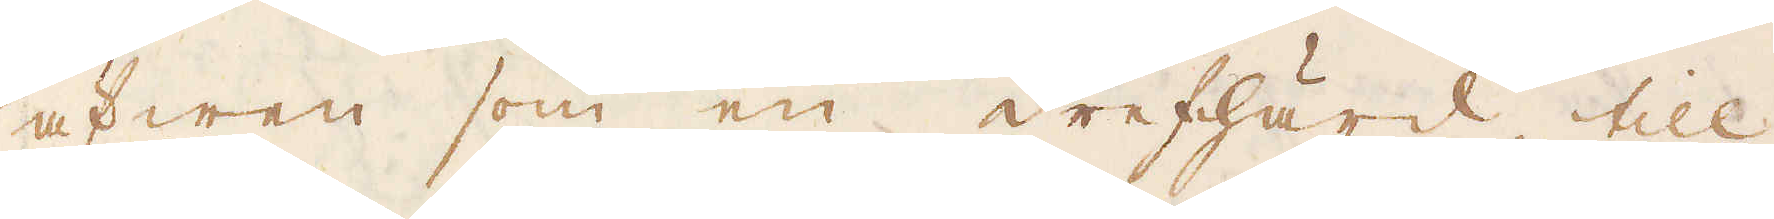äfwen som en drefhärd, till
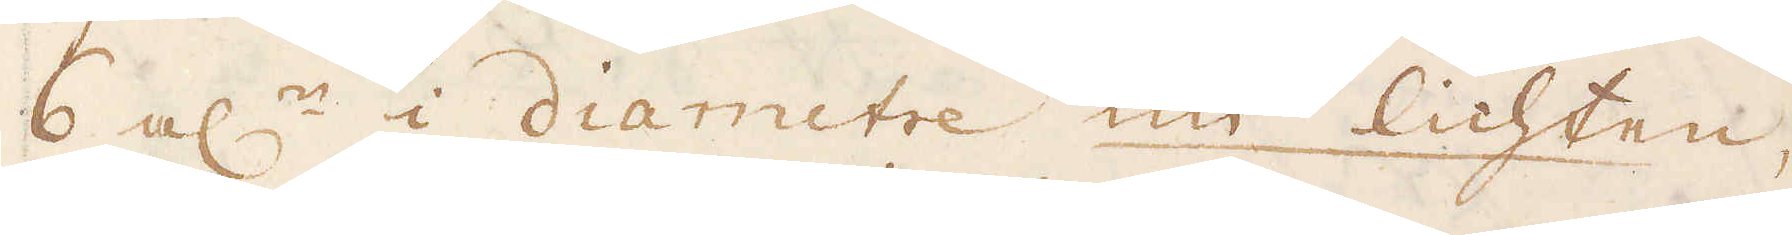6 al:n i diametre im lichten,
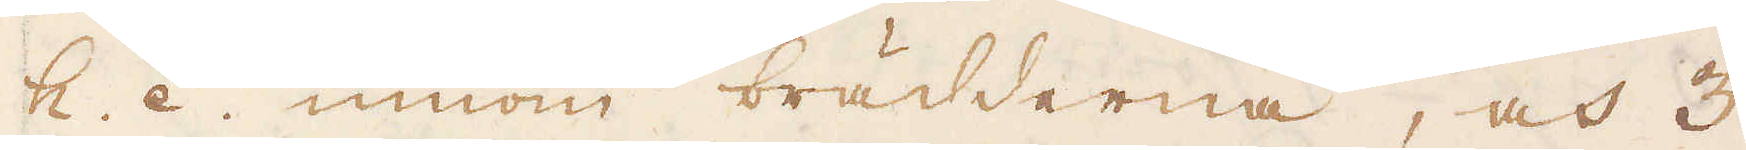h. é., innom brädderna, och 3
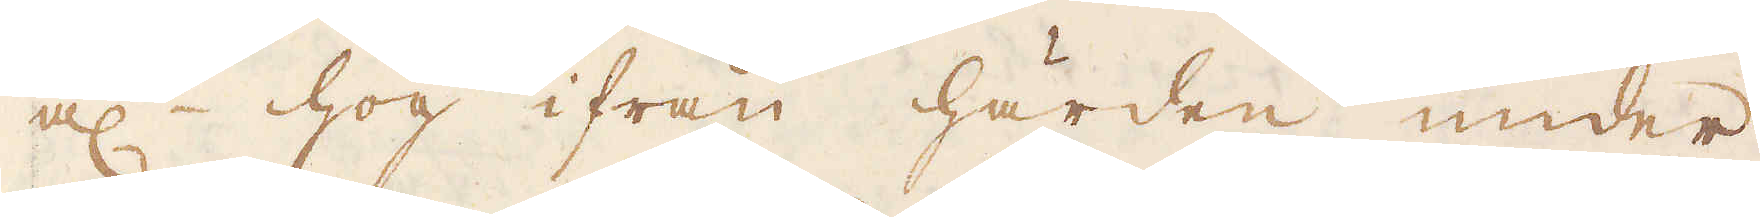al:r hög ifrån härden under
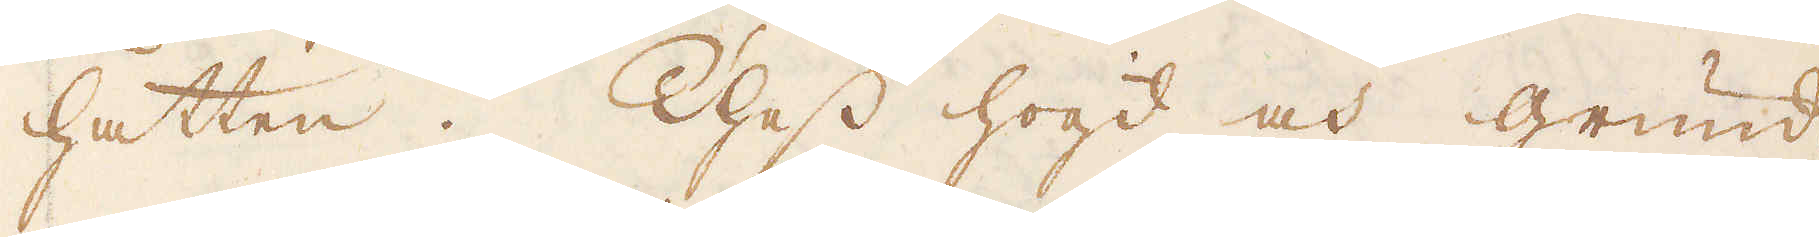hatten. Thess hogd och grund-
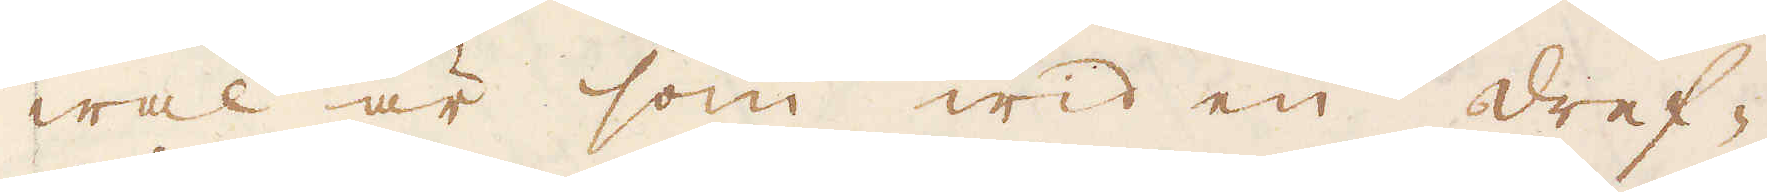wal är som wid en dref-
